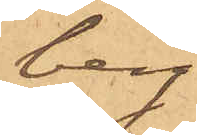berg
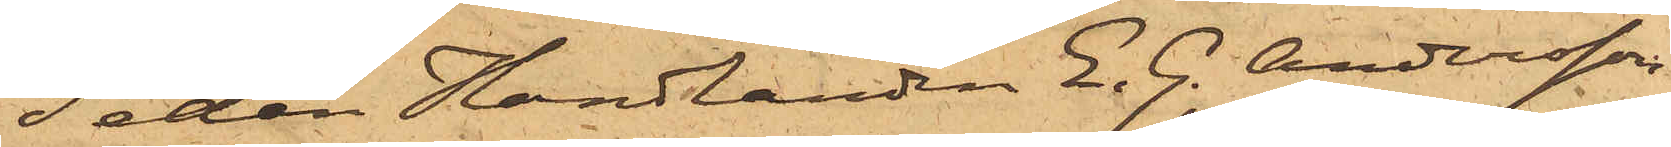Sedan Handlanden E. G. Andersson,
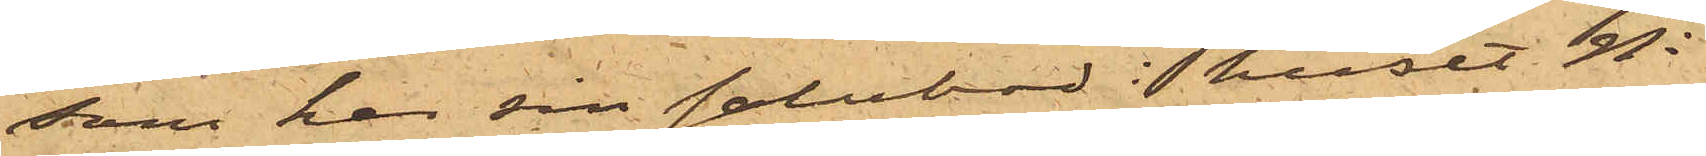som har sin salubod i huset No
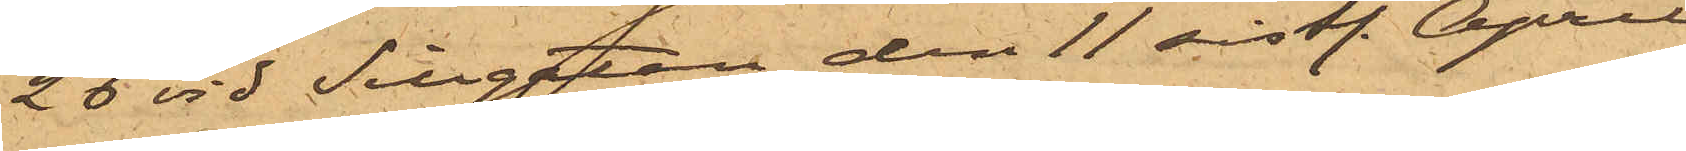26 vid Sillgatan den 11 sist. April
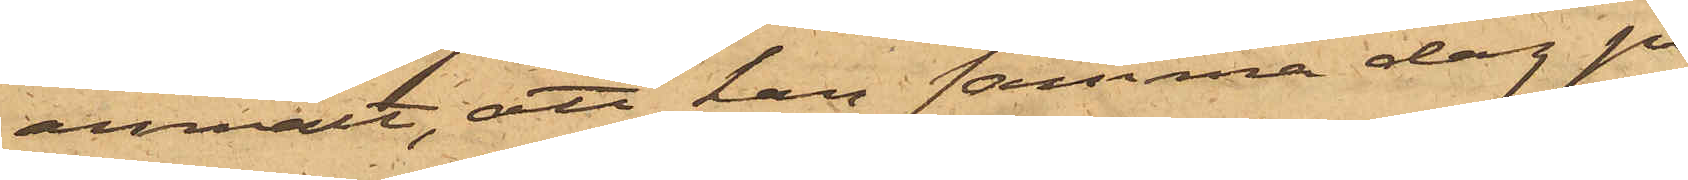anmält, att han samma dag på
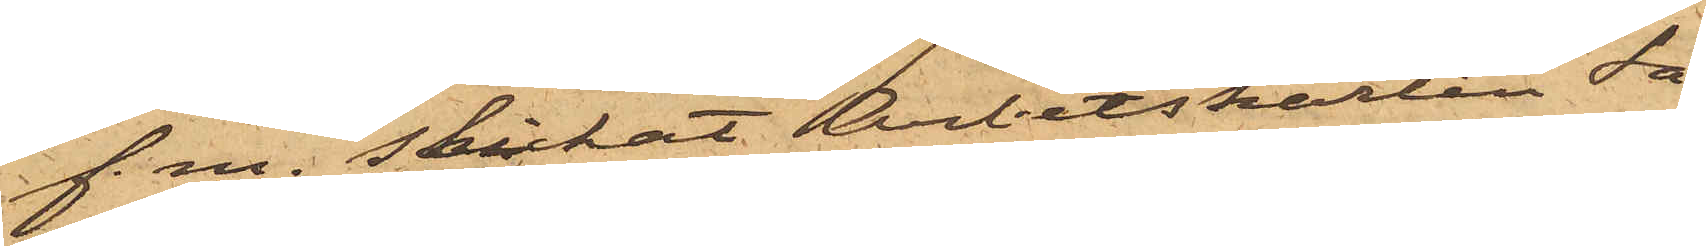f. m. skickat Arbetskarlen Sa¬
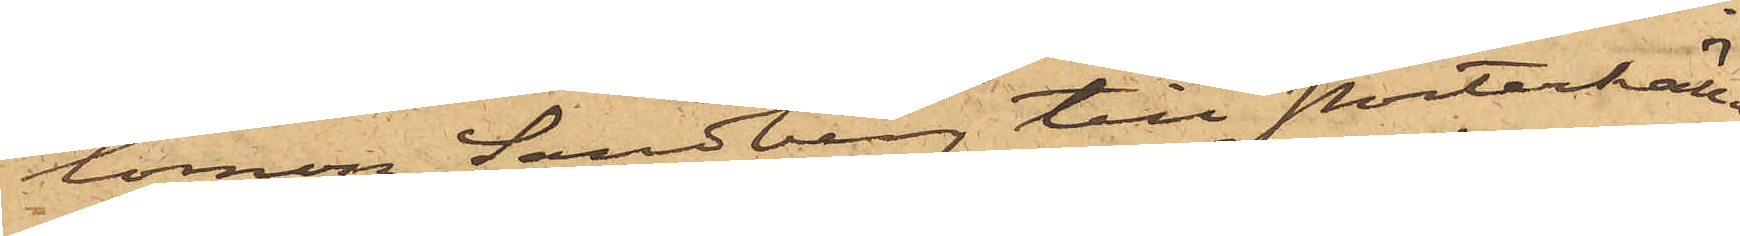lomon Sandberg till Porterkäll¬
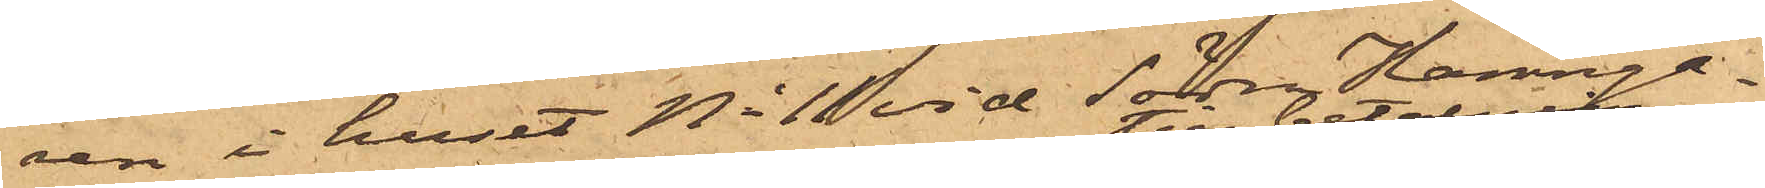aren i huset No 10 vid Södra Hamnga¬
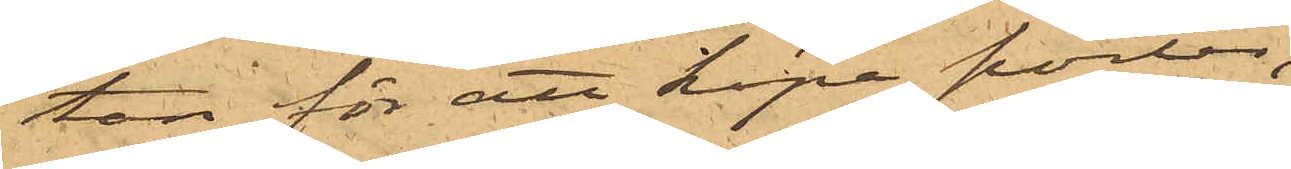tan för att köpa porter,
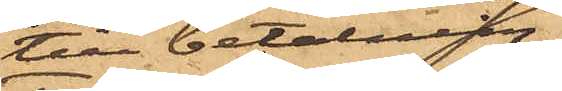till betalning
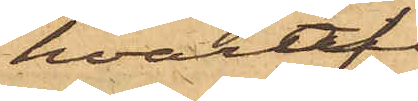hvaraf
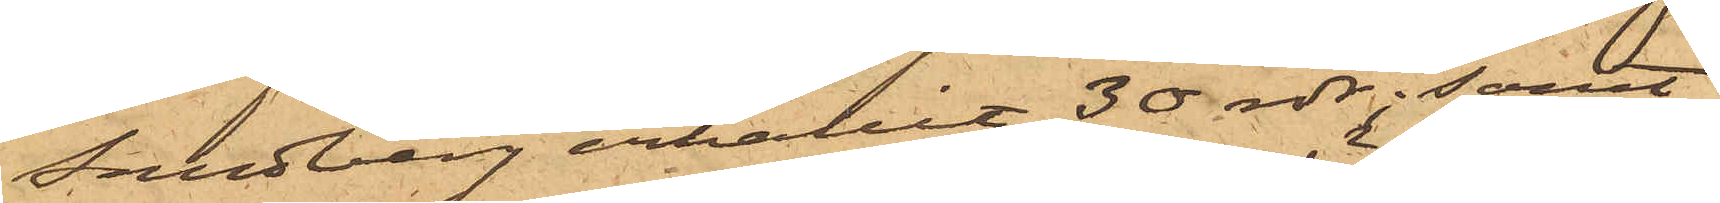Sandberg erhållit 30 rdr; samt
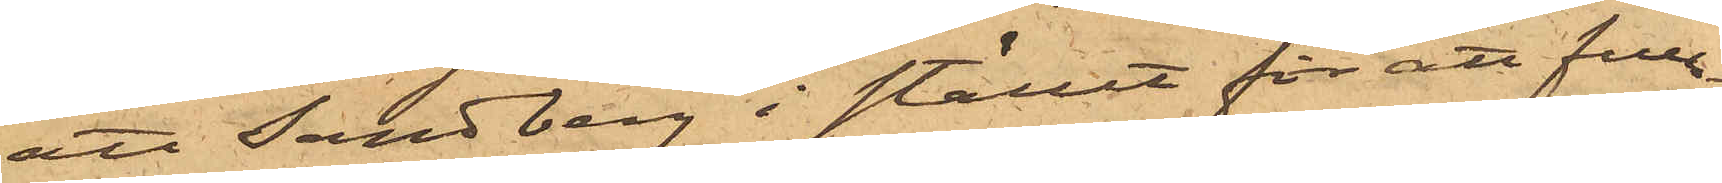att Sandberg i stället för att full¬
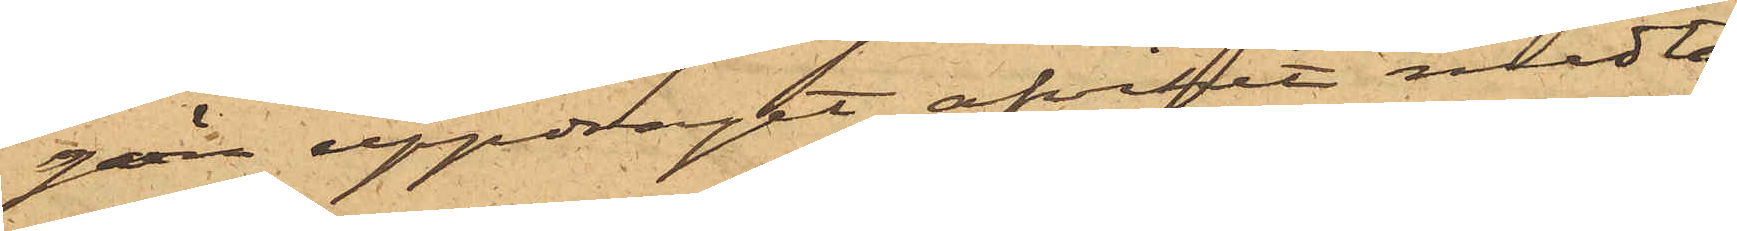göra uppdraget afvikit medta¬
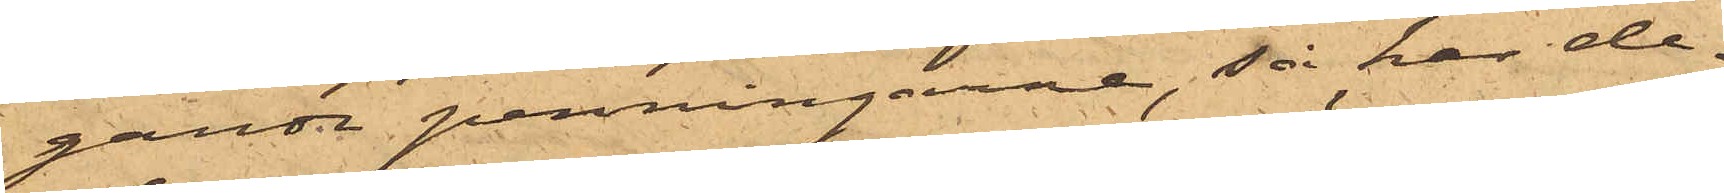gande penningarne, så har de¬
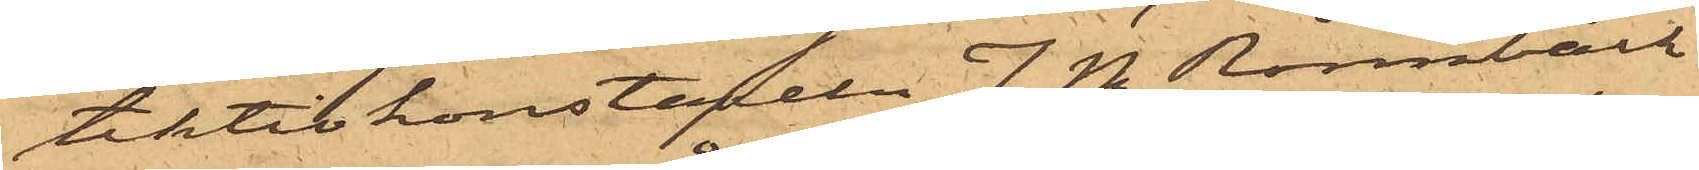tektivkonstapeln J. M. Rönnbäck
